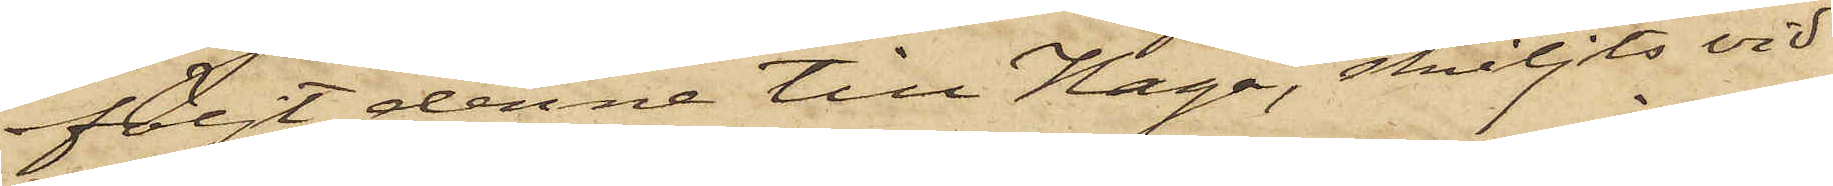följt denne till Haga, skiljts vid
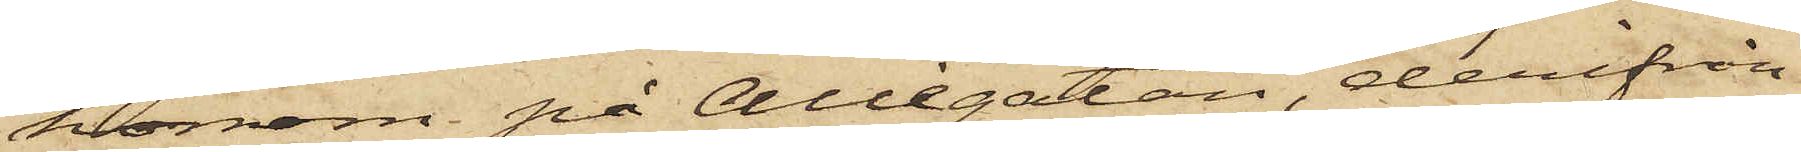honom på Allégatan, derifrån
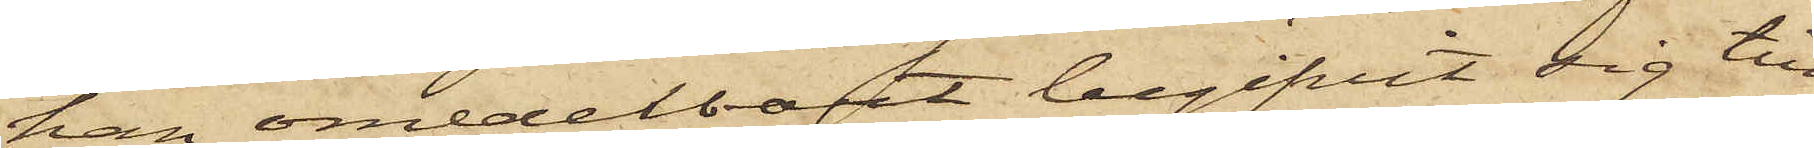han omedelbart begifvit sig till
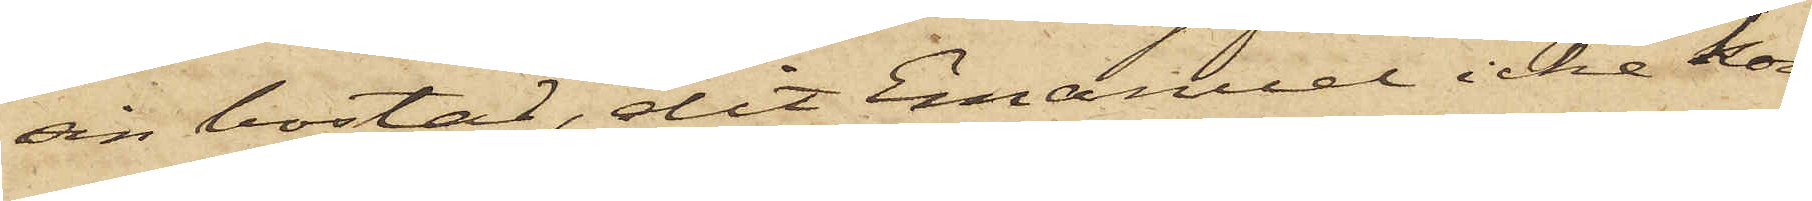sin bostad, dit Emanuel icke kom¬
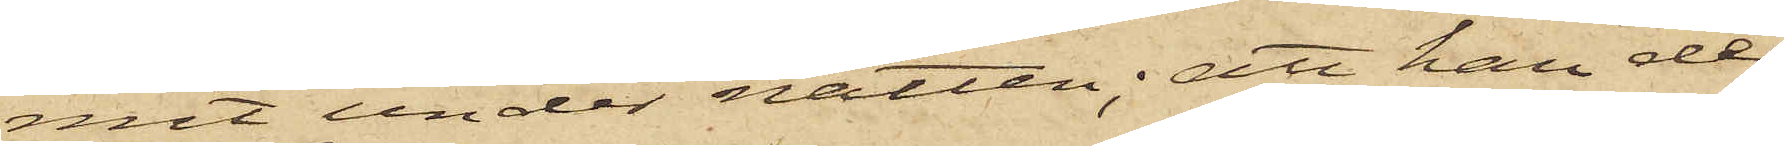mit under natten; att han der¬
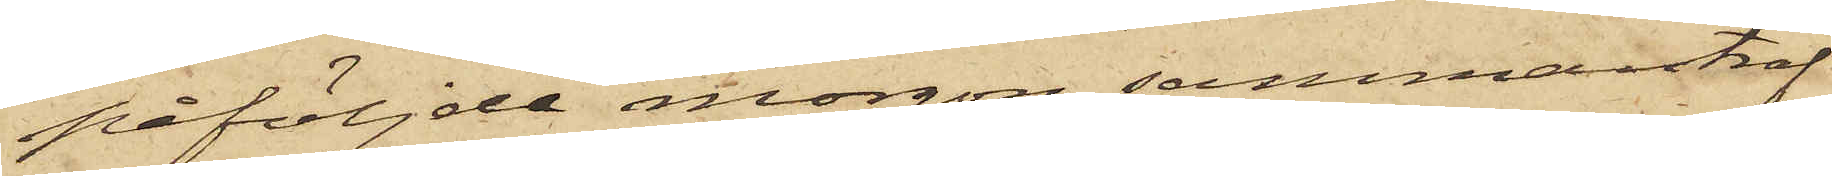påföljde morgon sammanträf¬
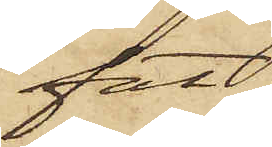fat
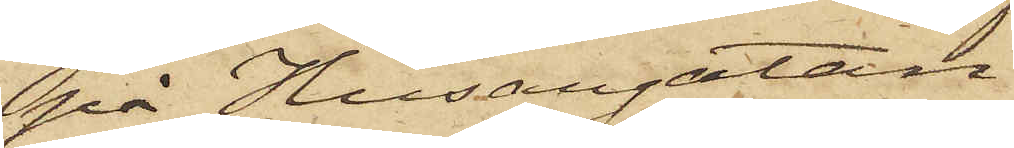på Husargatan
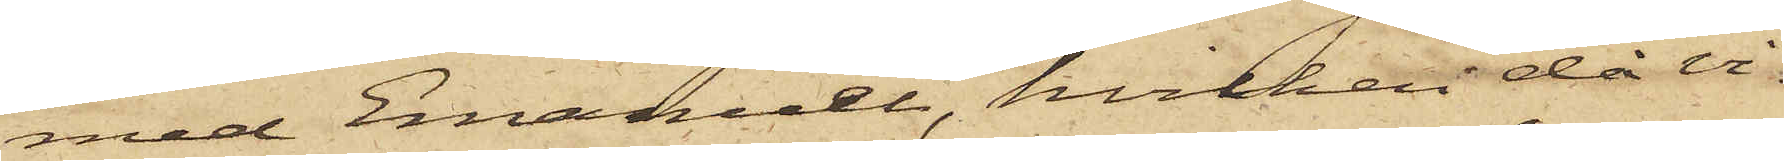med Emanuel, hvilken då vi¬
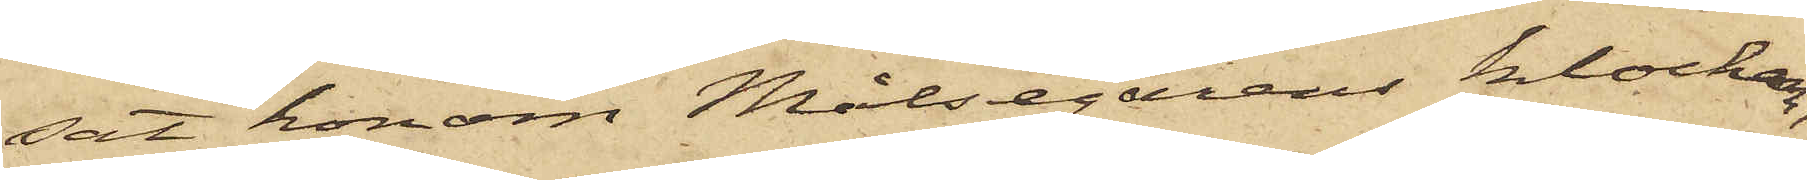sat honom Målsegarens klocka,
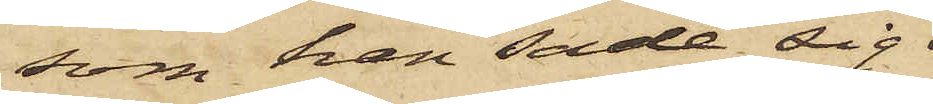som han sade sig
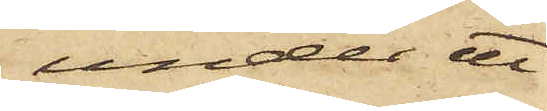under ett
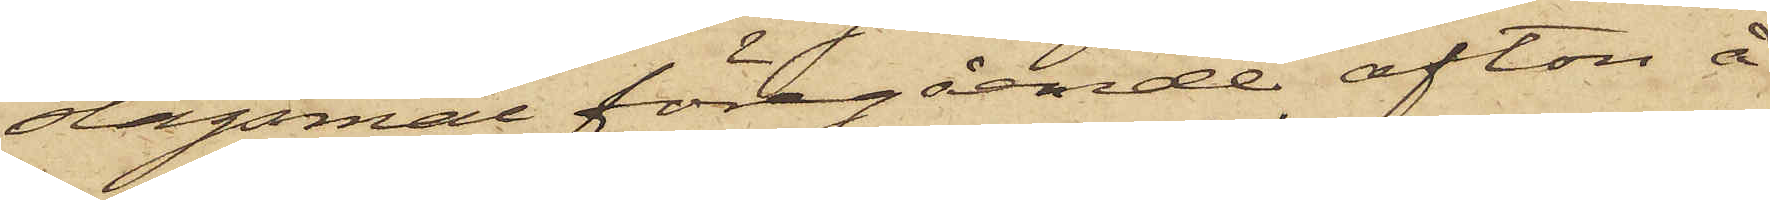slagsmål föregående afton å
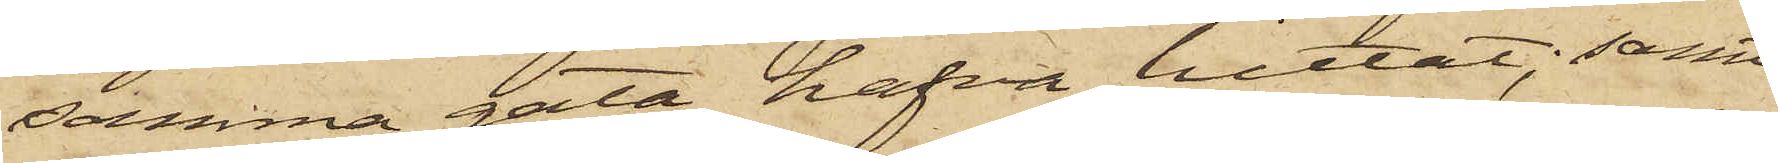samma gata hafva hittat; samt
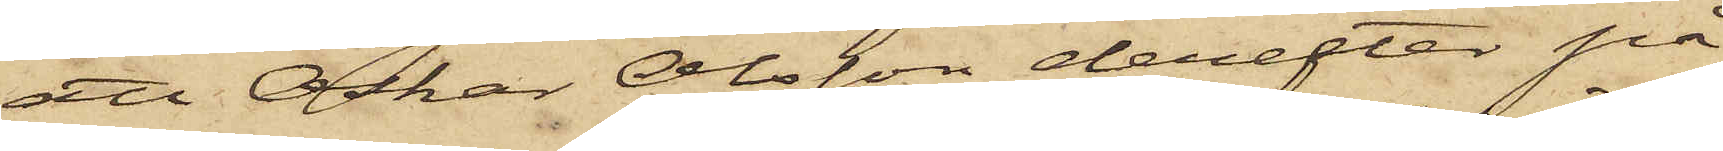att Oskar Olsson derefter på
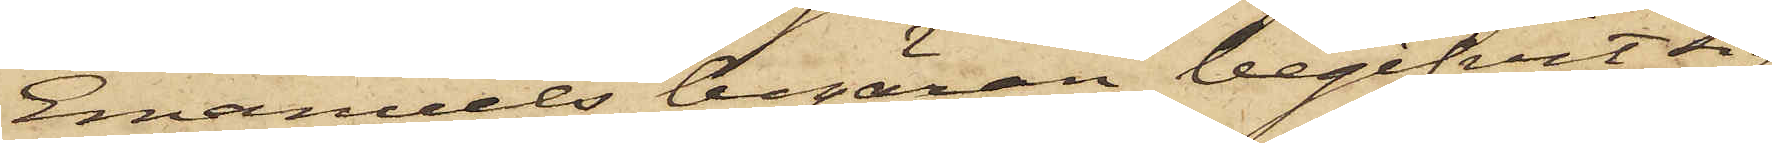Emanuels begäran begifvit sig
